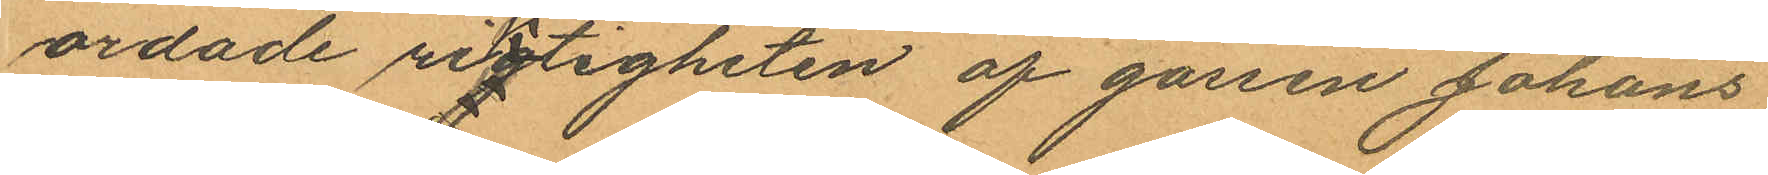ordade rigtigheten af gossen Johans
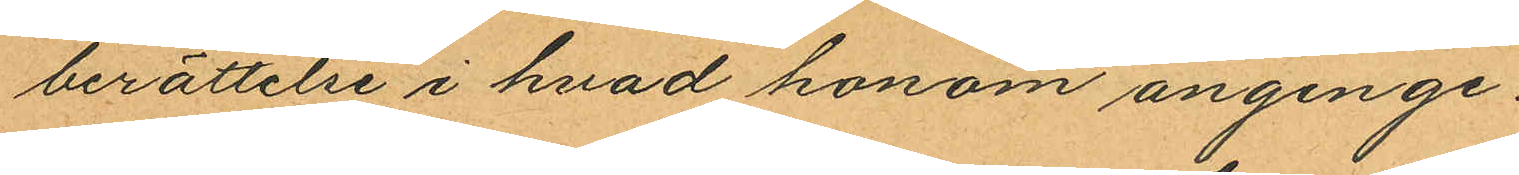berättelse i hvad honom anginge.
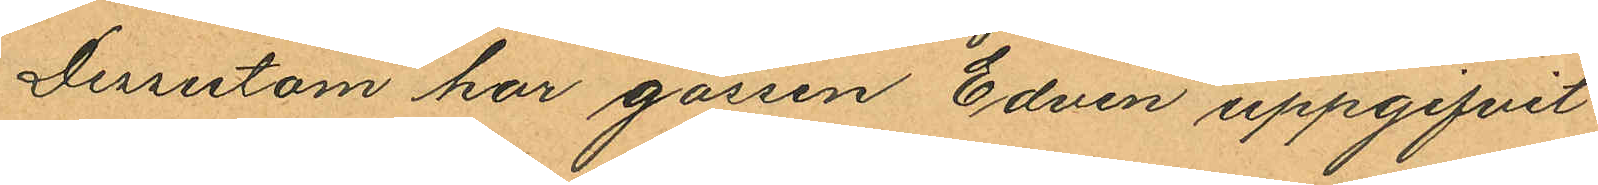Dessutom har gossen Edvin uppgifvit
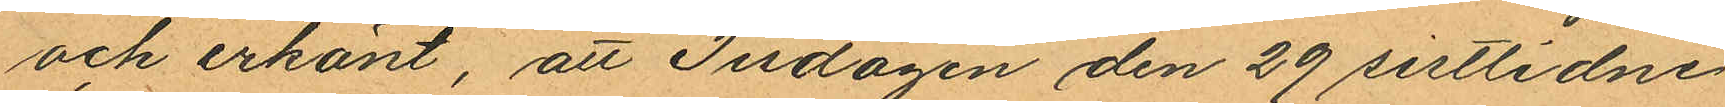och erkänt, att Tisdagen den 29 sistlidne
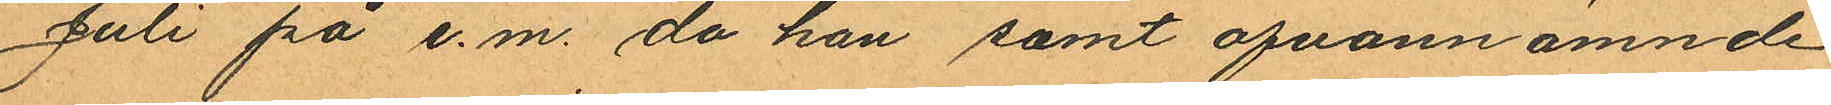Juli på e.m. då han samt ofvannämnde
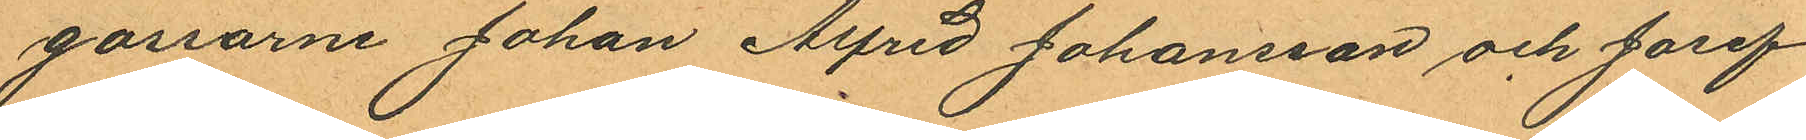gossarne Johan Alfred Johansson och Josef
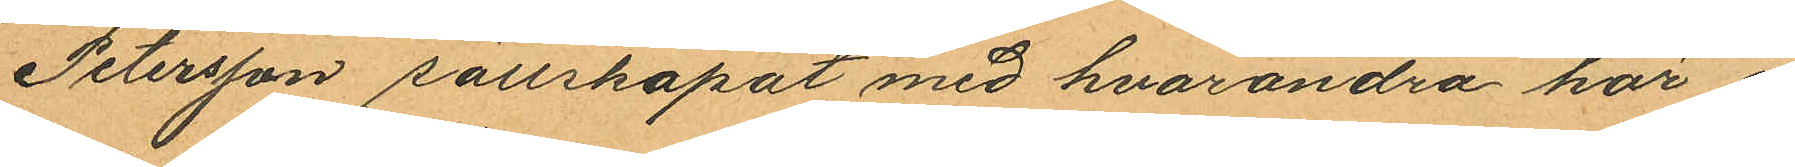Petersson sällskapat med hvarandra här i
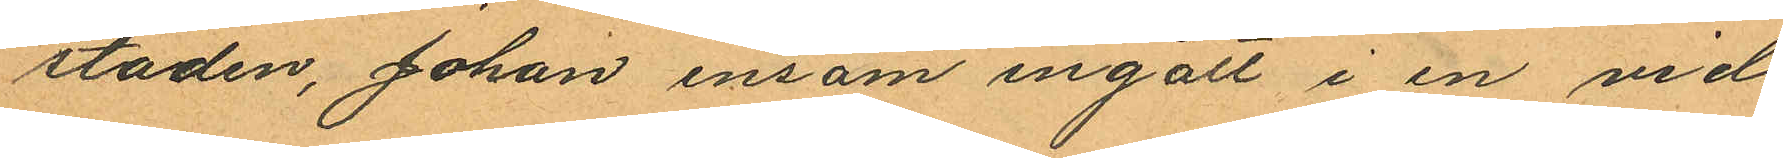staden, Johan ensam ingått i en vid
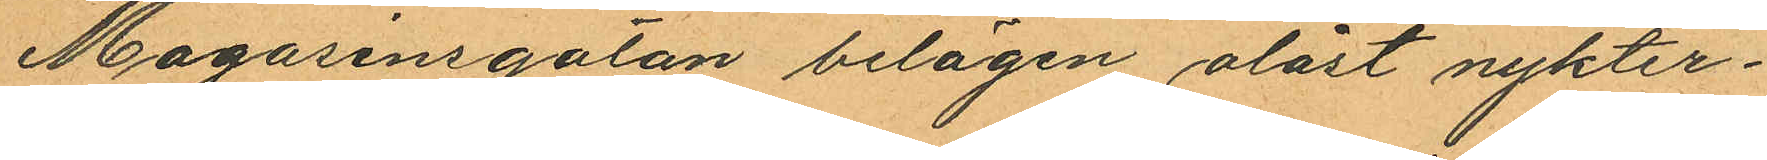Magasinsgatan belägen olåst nykter¬
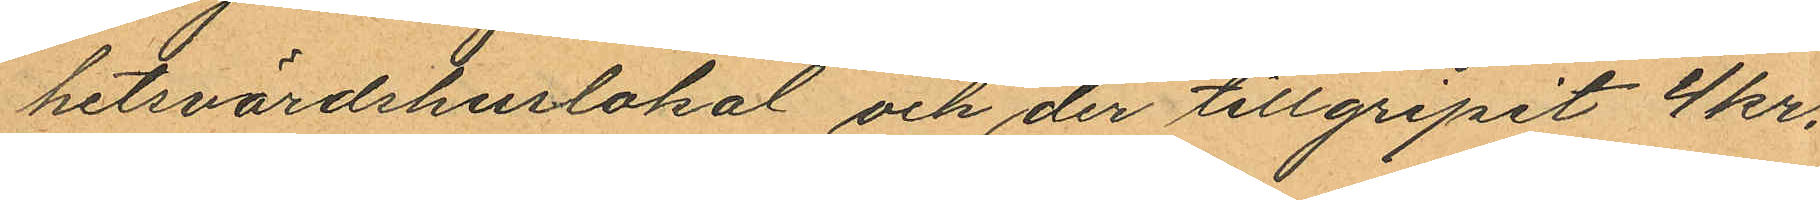hetsvärdshuslokal och der tillgripit 4 kr.
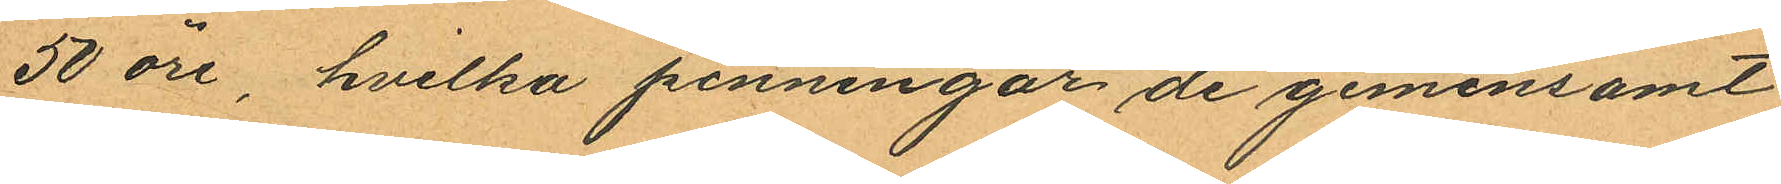50 öre, hvilka penningar de gemensamt
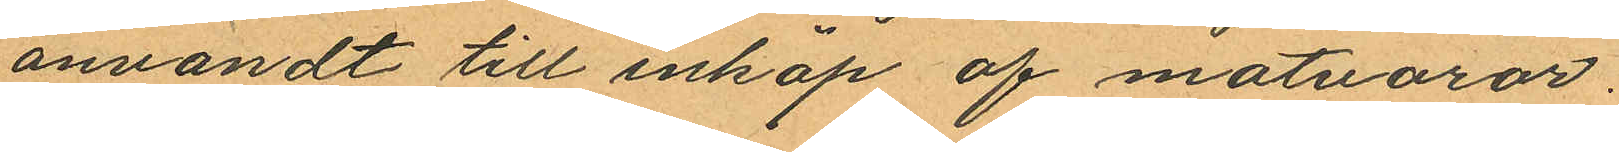användt till inköp af matvaror.
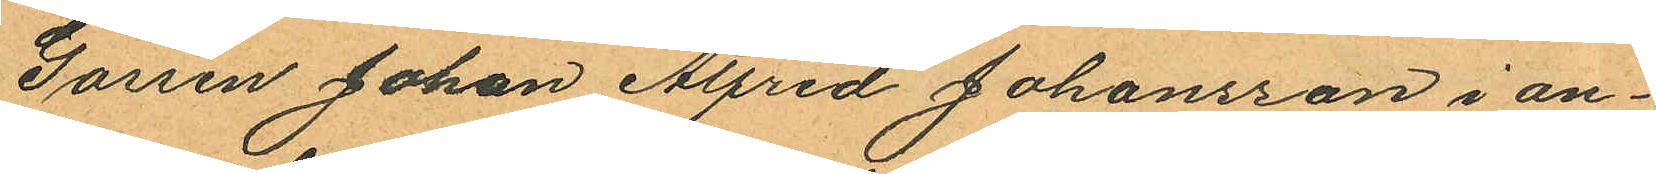Gossen Johan Alfred Johansson i an¬
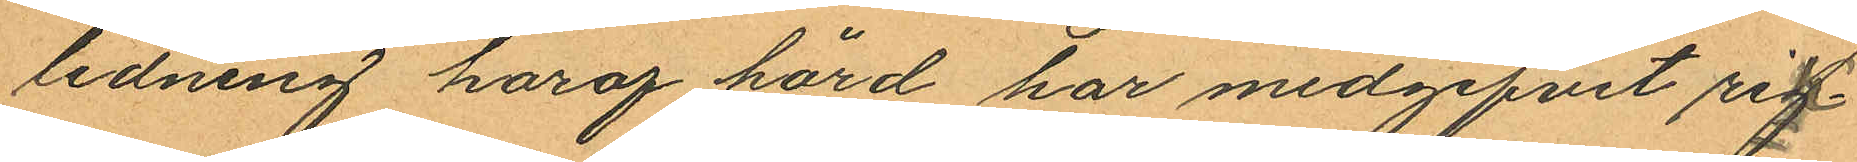ledning haraf hörd har medgifvit rig¬
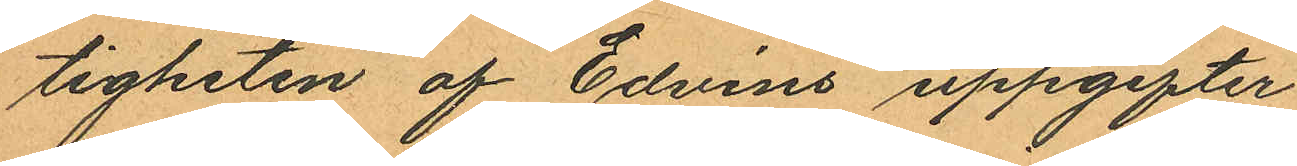tigheten af Edvins uppgifter.
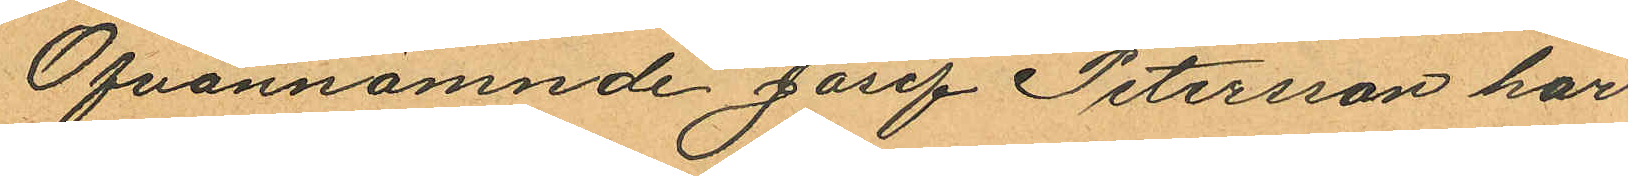Ofvannämnde Josef Petersson har
